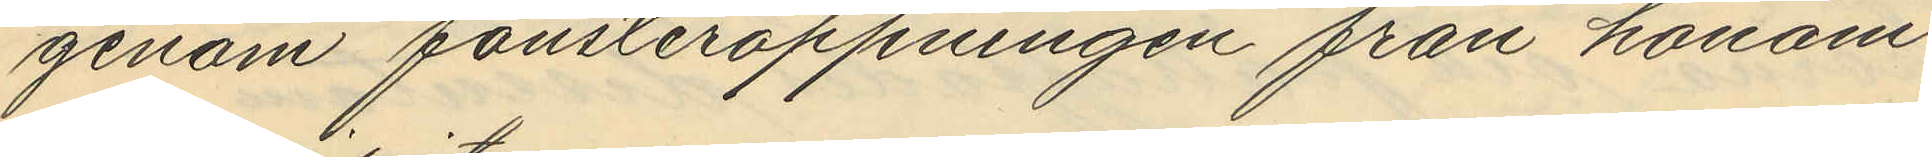genom fönsteröppningen från honom
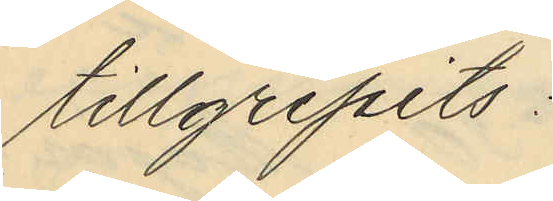tillgripits:
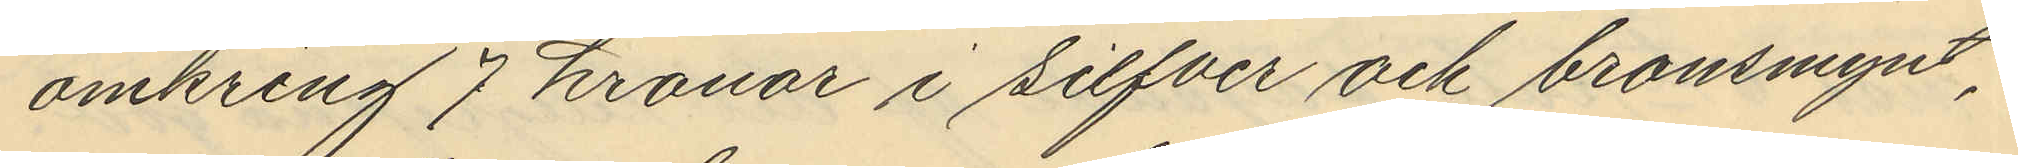omkring 7 kronor i silfver och bronsmynt,
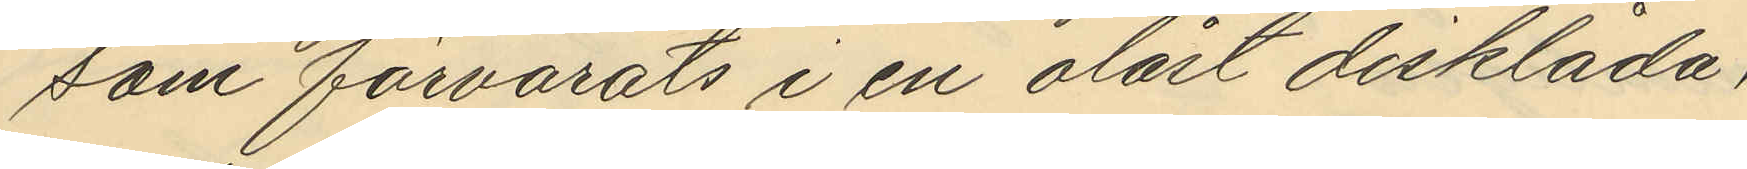som förvarats i en olåst disklåda;
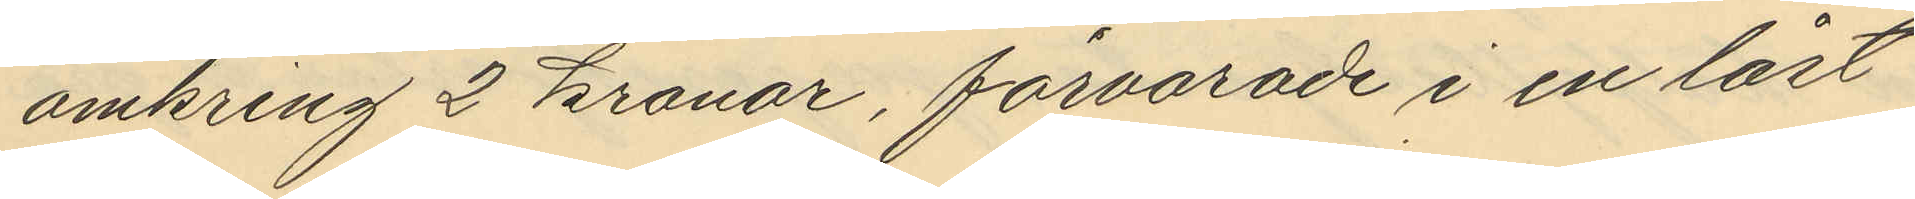omkring 2 kronor, förvarade i en låst
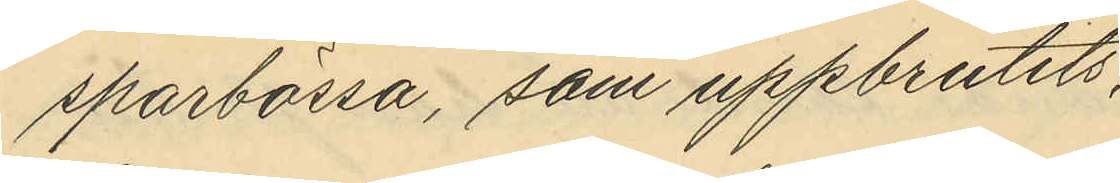sparbössa, som uppbrutits,
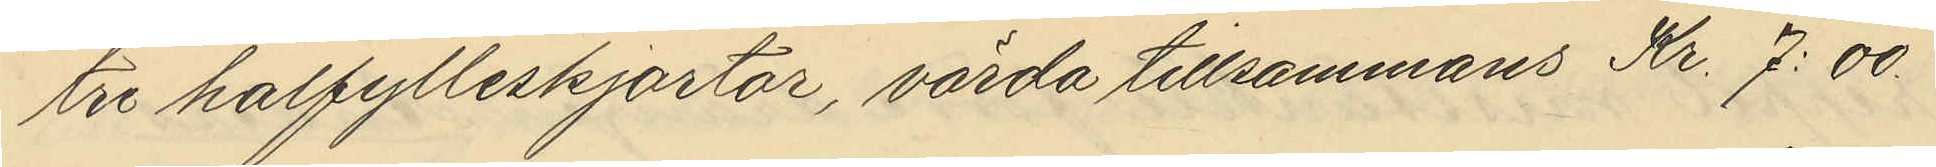tre halfylleskjortor, värda tillsammans Kr. 7:00
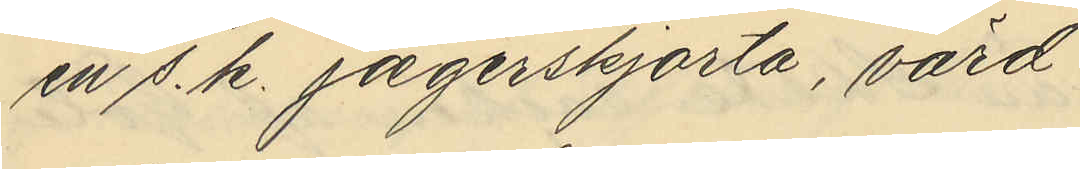en s. k. jægerskjorta, värd
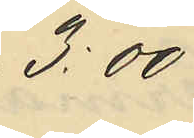3:00
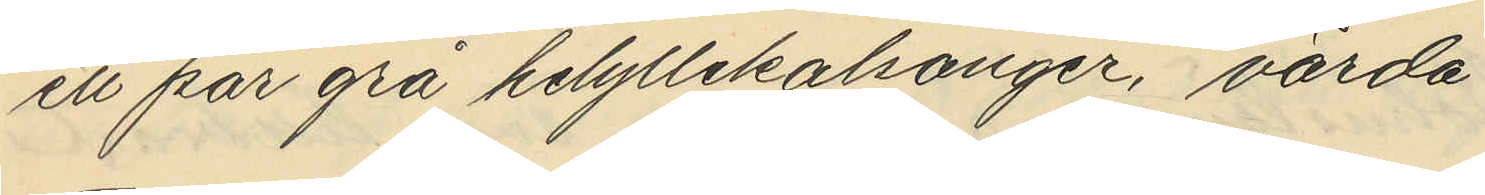ett par grå helyllekalsonger, värda
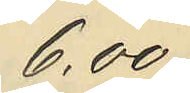6.00
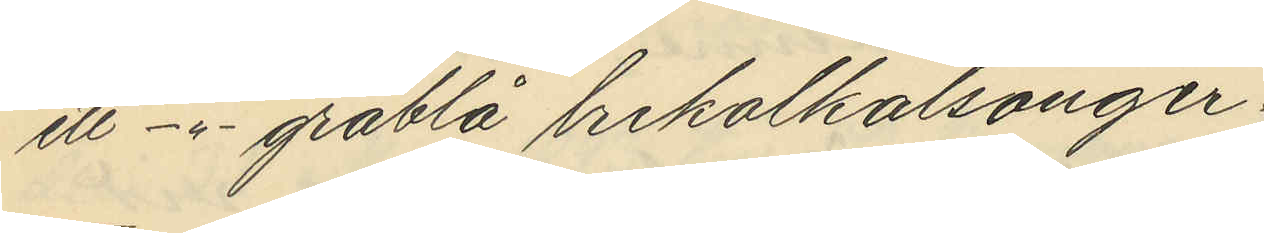ett -"- gråblå trikålkalsonger
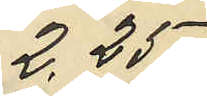2,25
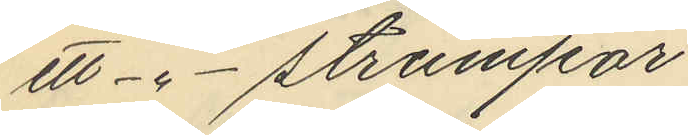ett -"- strumpar
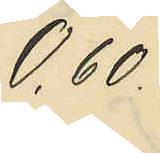0,60
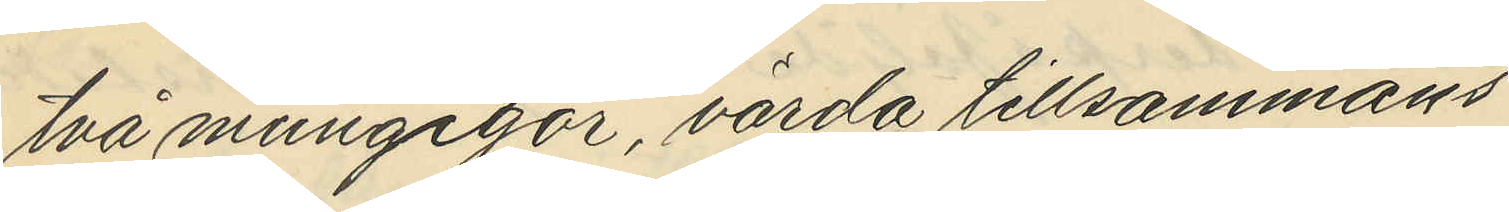två mungigor, värda tillsammans
